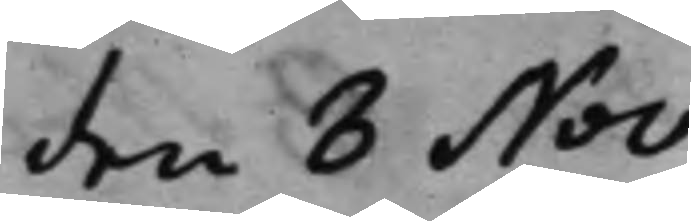den 8 Nov.
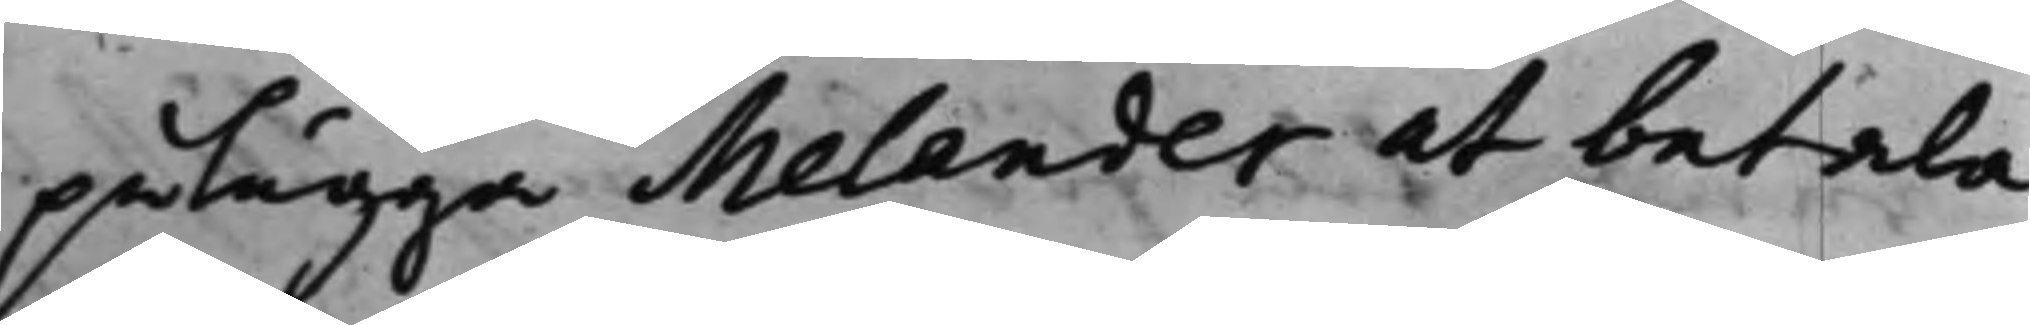pålägga Melander at betala
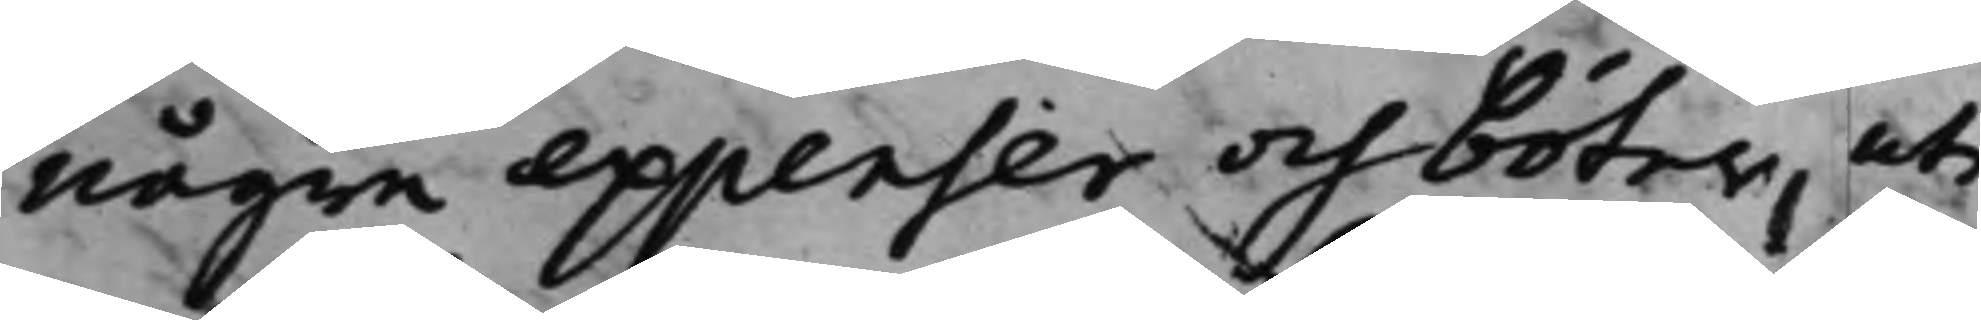några expenser och böter, uti
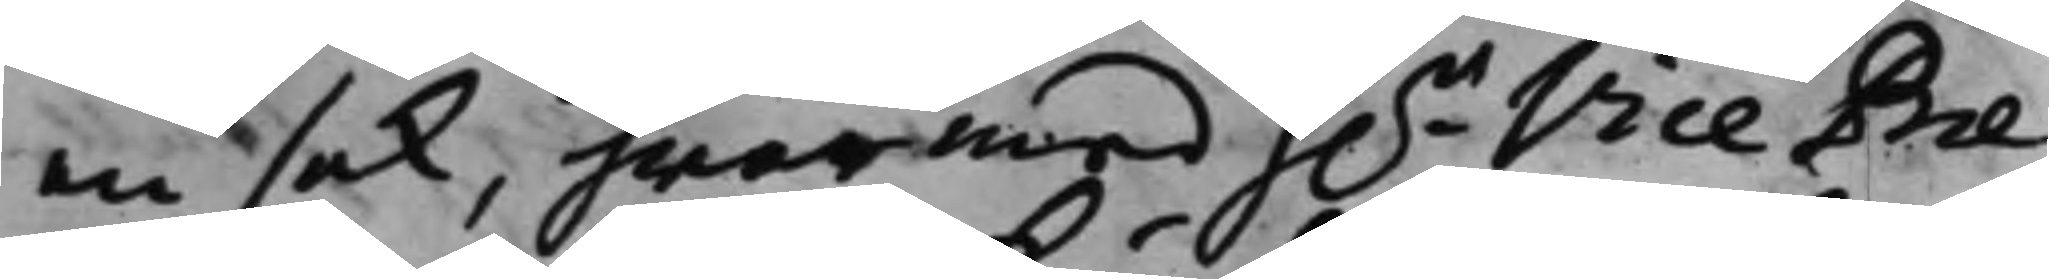en sak, hwarmed h.r Vice Prae¬
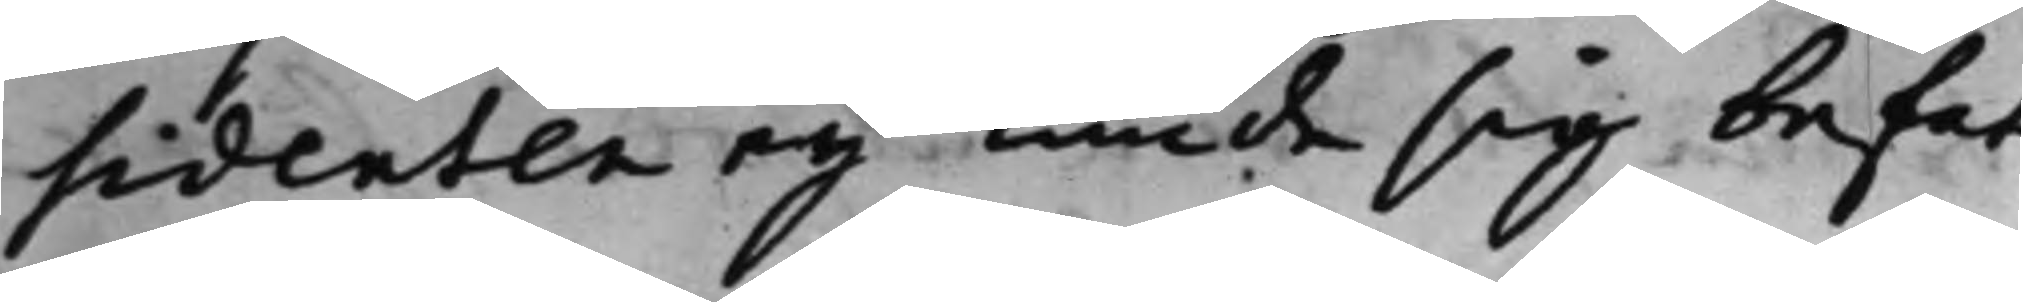sidenten ey kunde sig befat¬
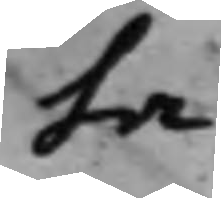ta.
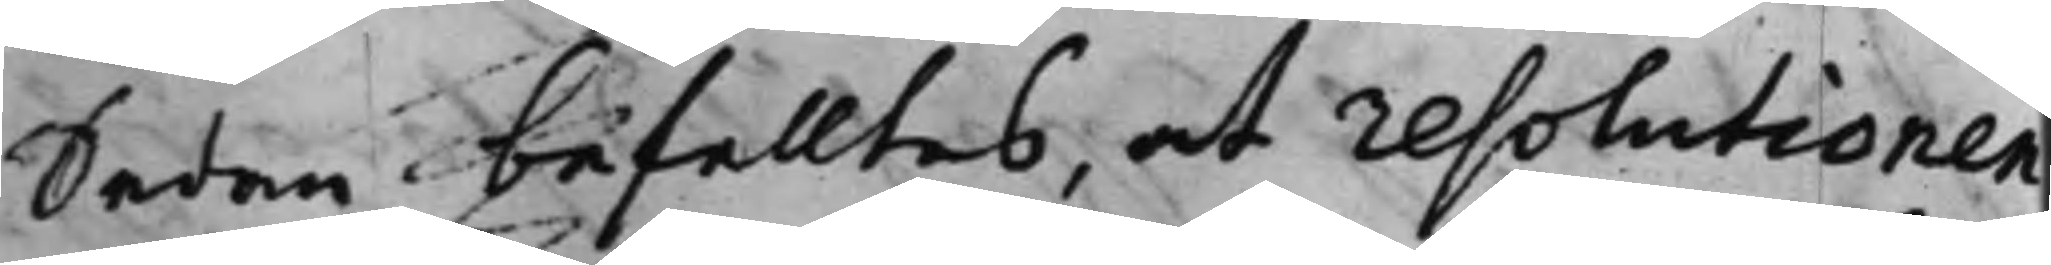Sedan befalltes, at resolutionen
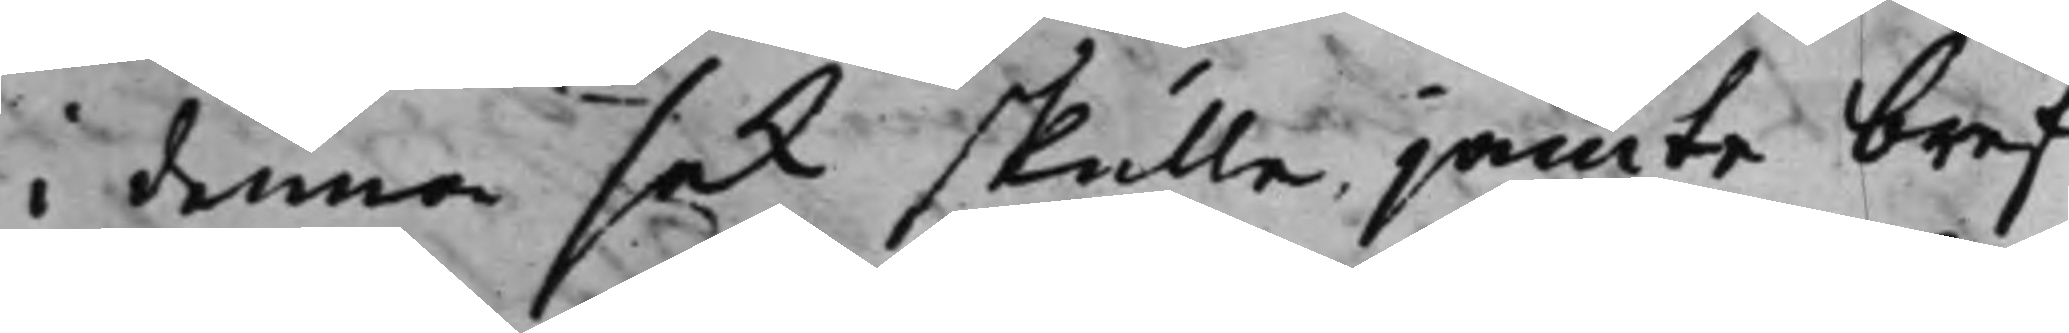i denna sak skulle jämte bref
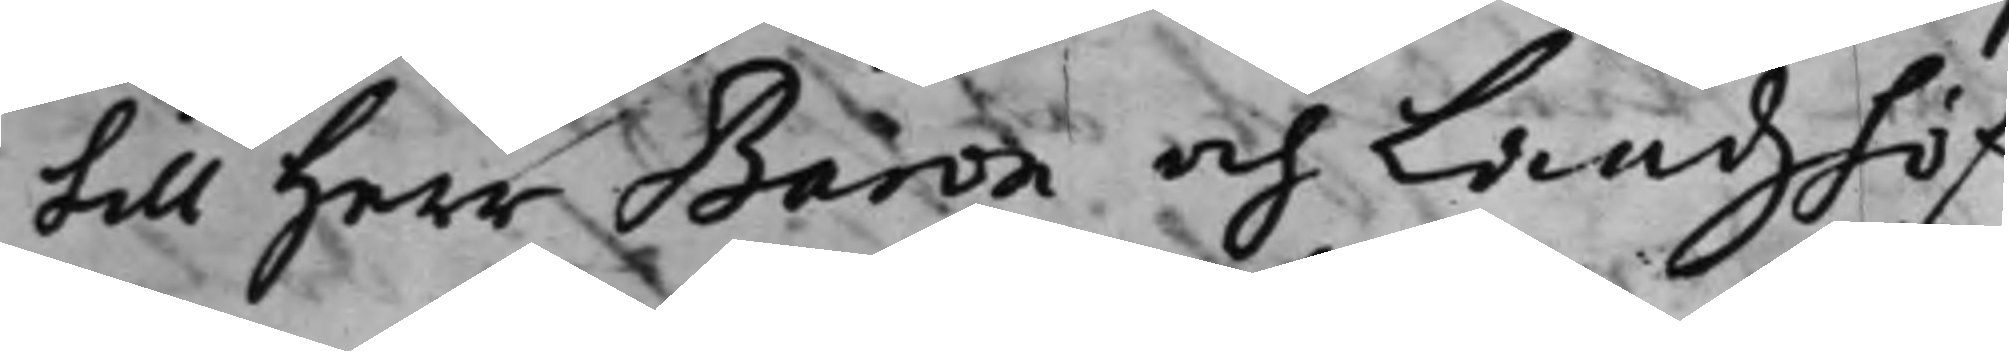till Herr Baron och Landzhöf¬
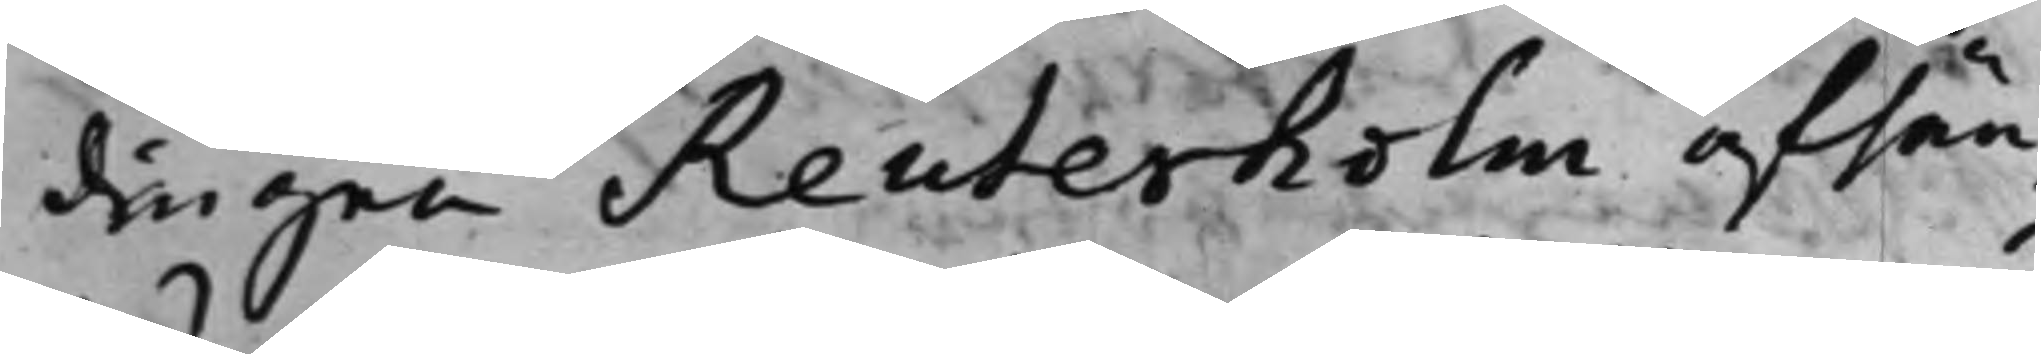dingen Reuterholm afsän¬
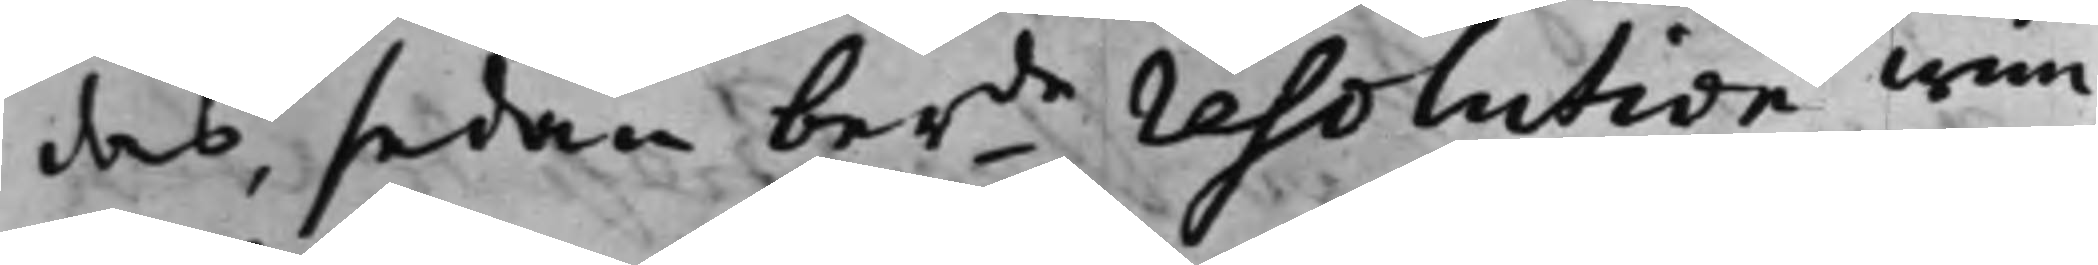das, sedan berde resolution wun¬
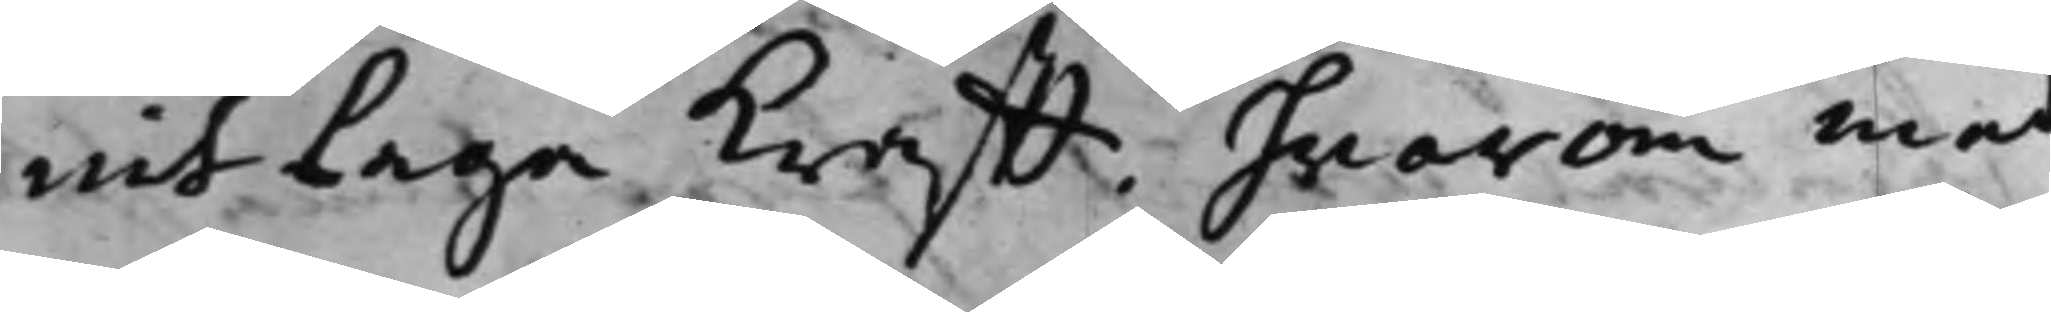nit Laga Krafft. hvarom med
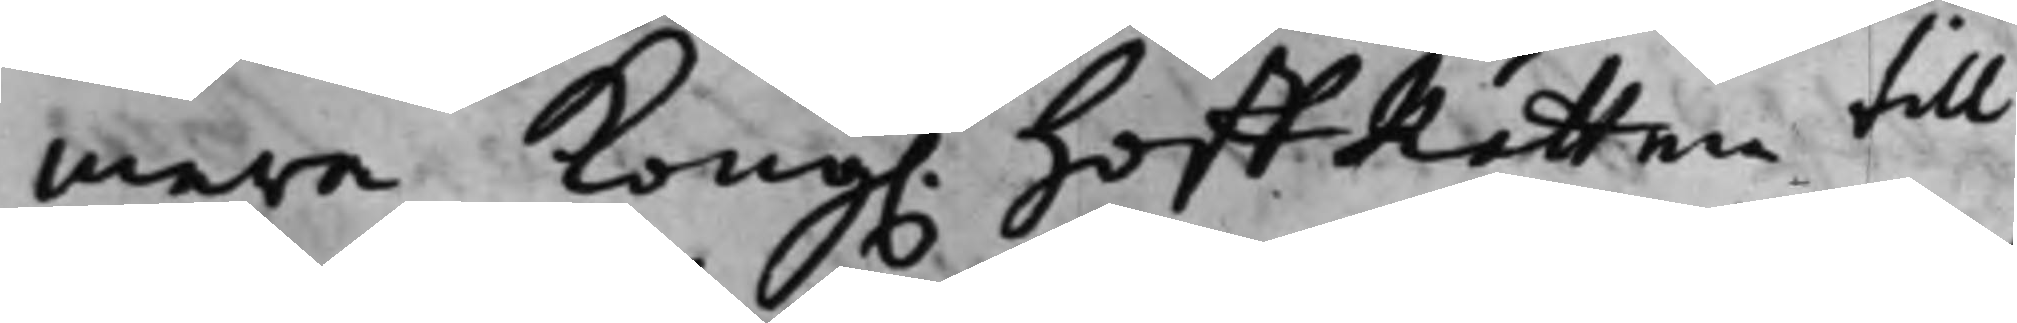mera Kong. HoffRätten till
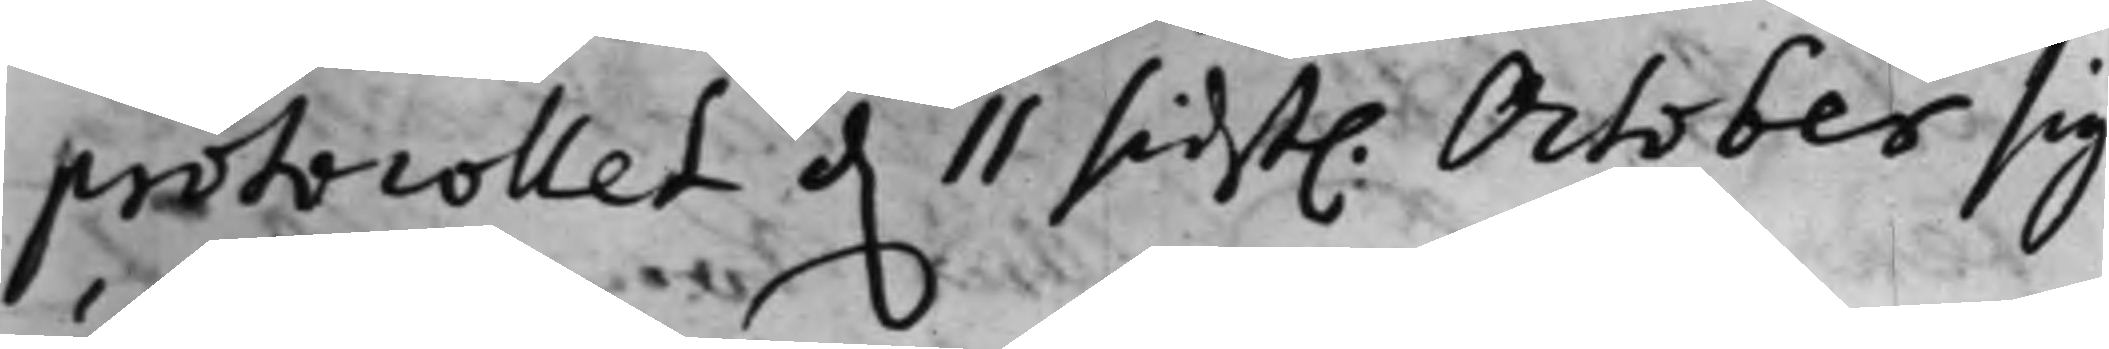protocollet d. 11 sidst. October sig
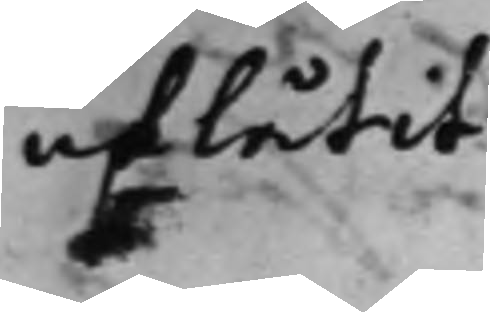utlåtit.
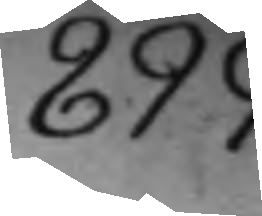899.
